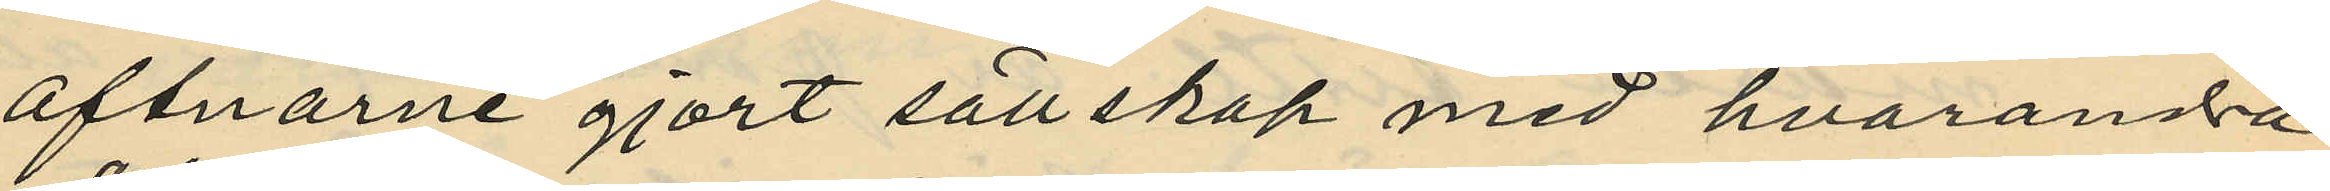aftnarna gjort sällskap med hvarandra
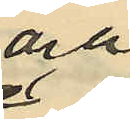och
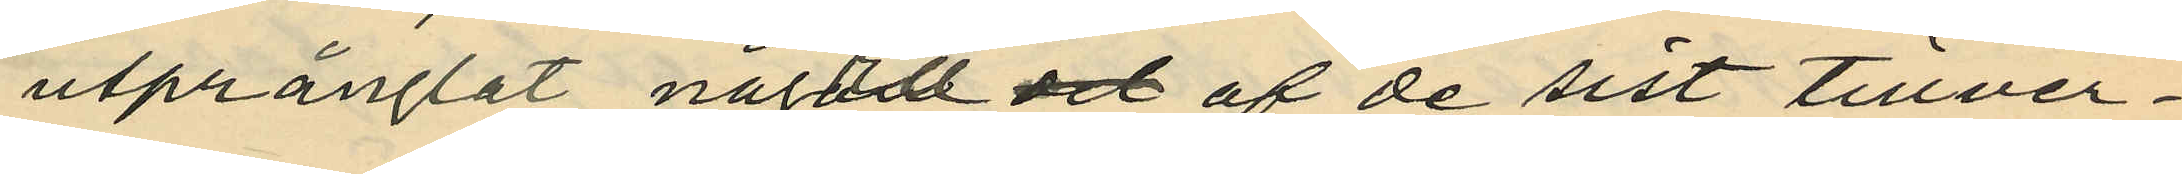utprånglat något af de sist tillver¬
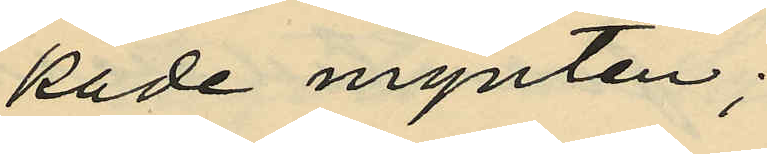kade mynten;
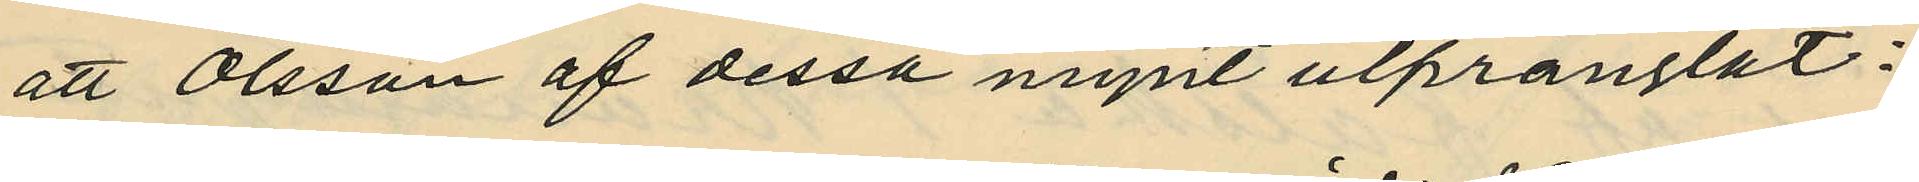att Olsson af dessa mynt utprånglat:
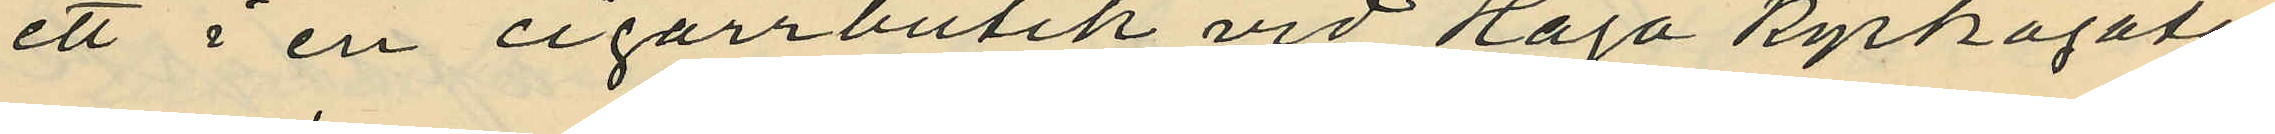ett i en cigarrbutik vid Haga Kyrkogata,
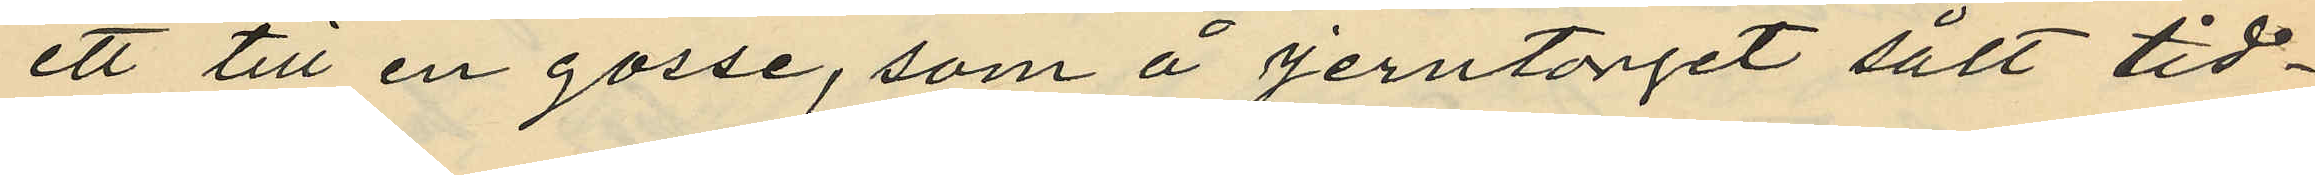ett till en gosse, som å Jerntorget sålt tid¬
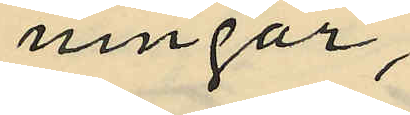ningar,
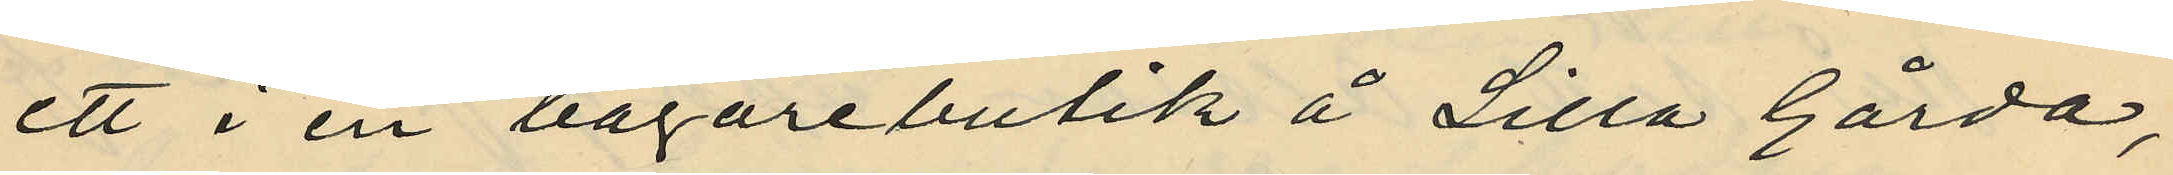ett i en bagarebutik å Lilla Gårda,
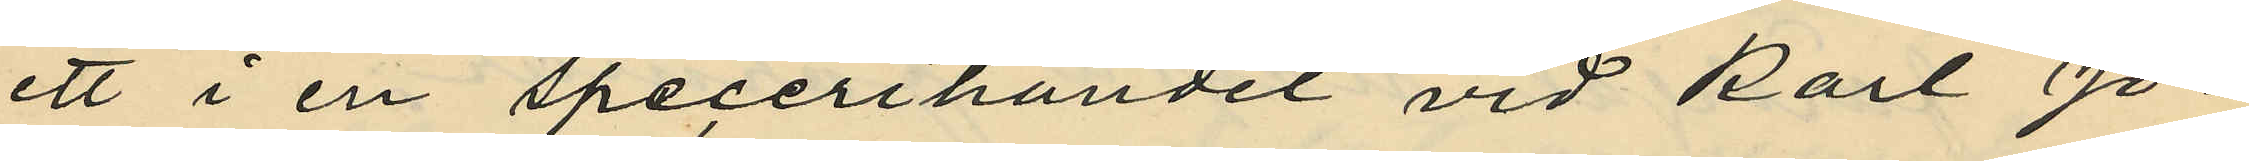ett i en specerihandel vid Karl Jo¬
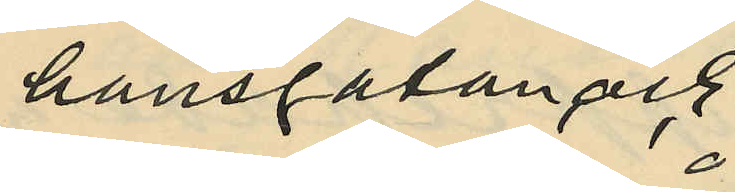hansgatan och
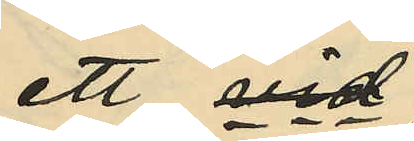ett vid
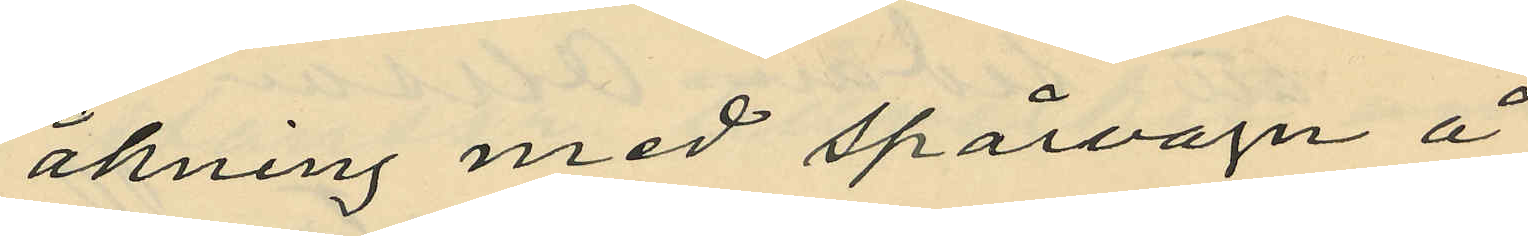åkning med spårvagn å
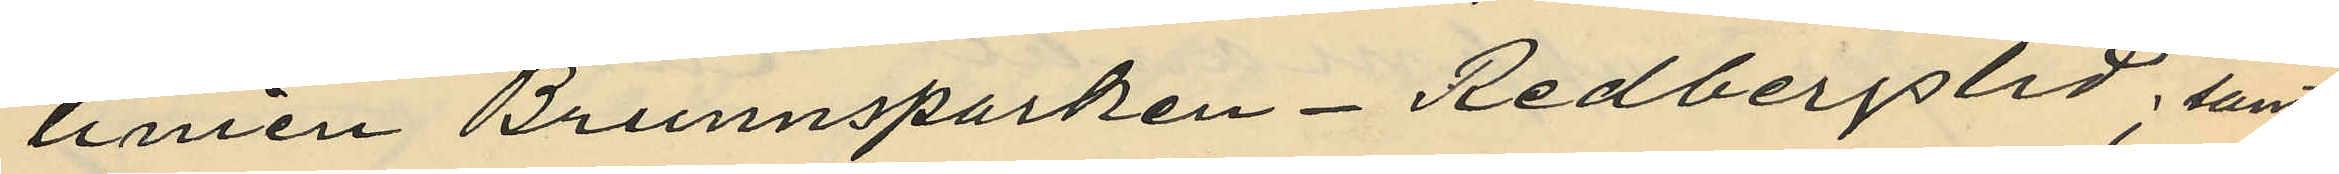linien Brunnsparken - Redbergslid; samt
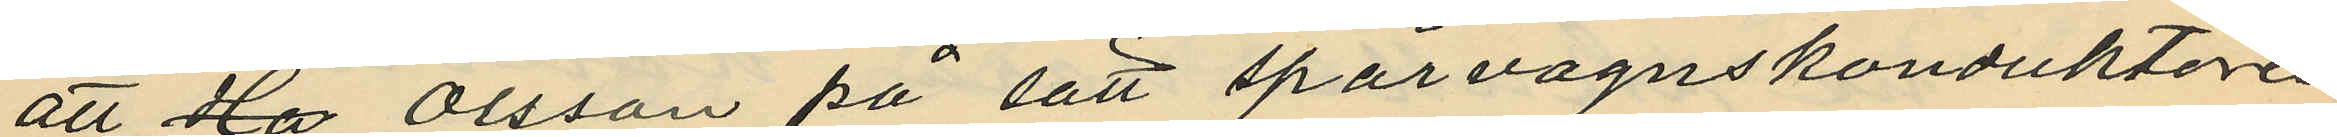att Olsson på sätt spårvagnskonduktören
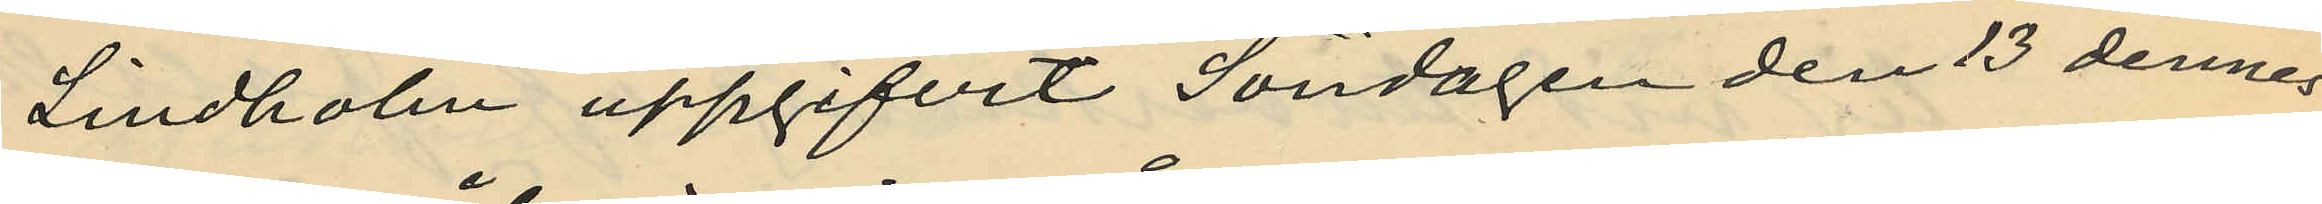Lindholm uppgifvit Söndagen den 13 dennes
